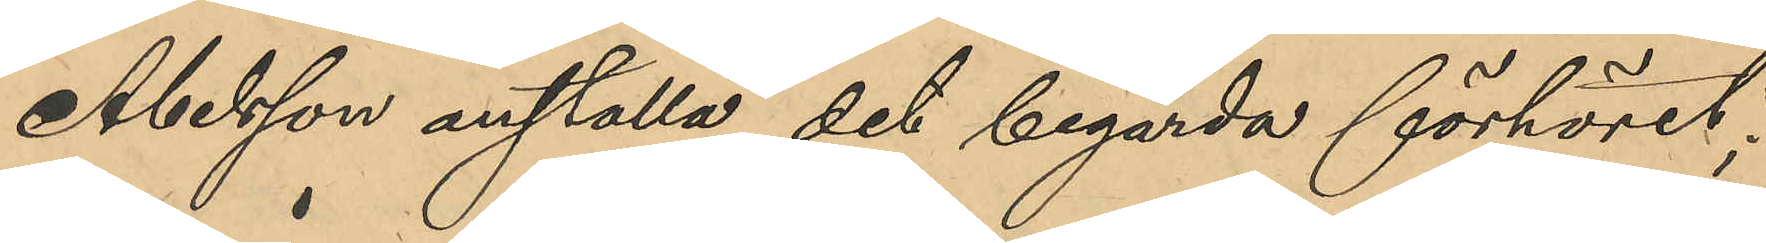Abelsson anställa det begärda förhöret;
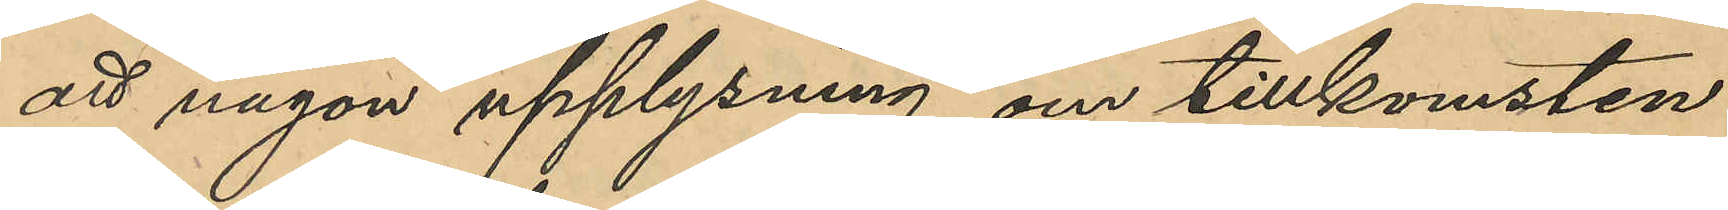att någon upplysning om tillkomsten
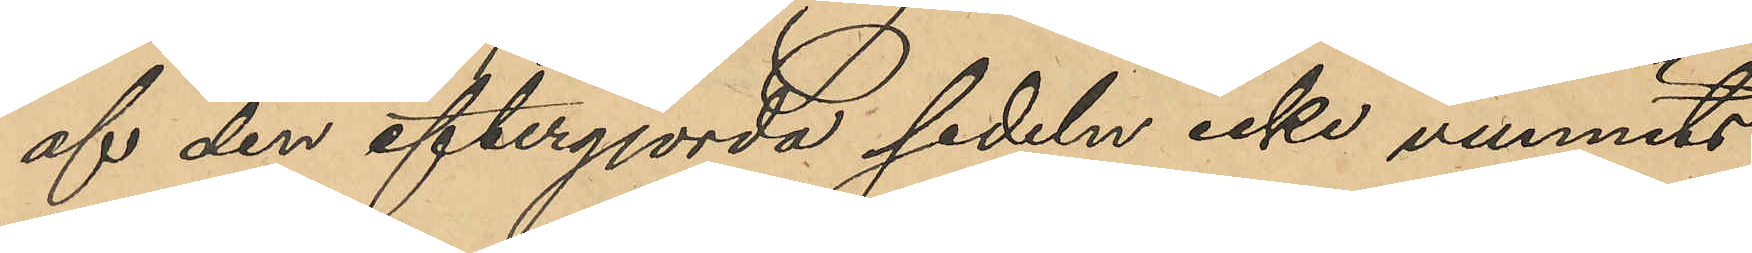af den eftergjorda sedeln icke vunnits
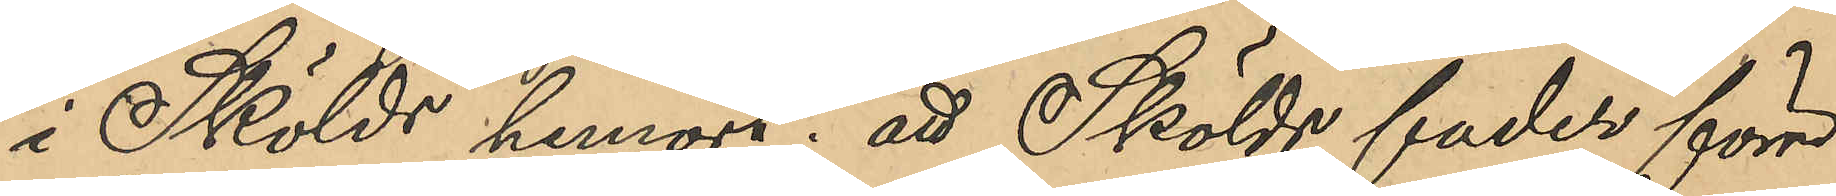i Skölds hemort; att Skölds fader förre
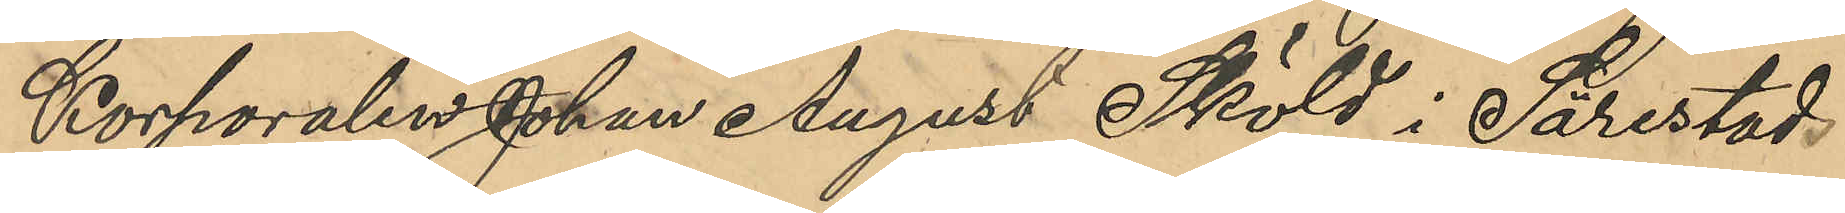Korporalen Johan August Sköld i Särestad
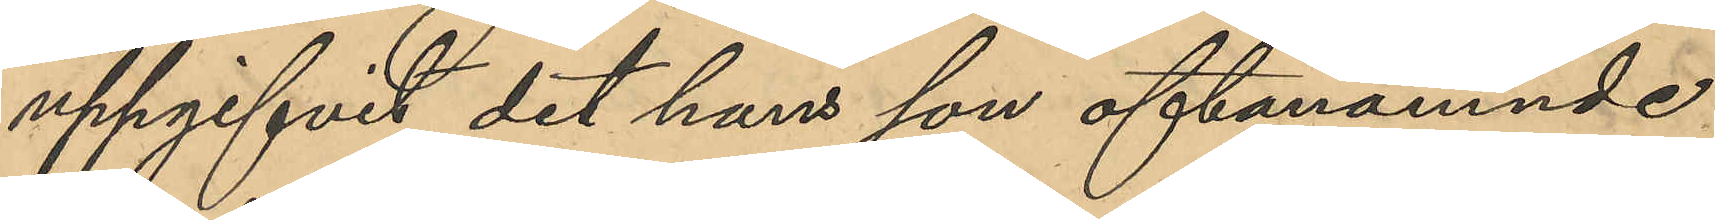uppgifvit det hans son oftabenämnde
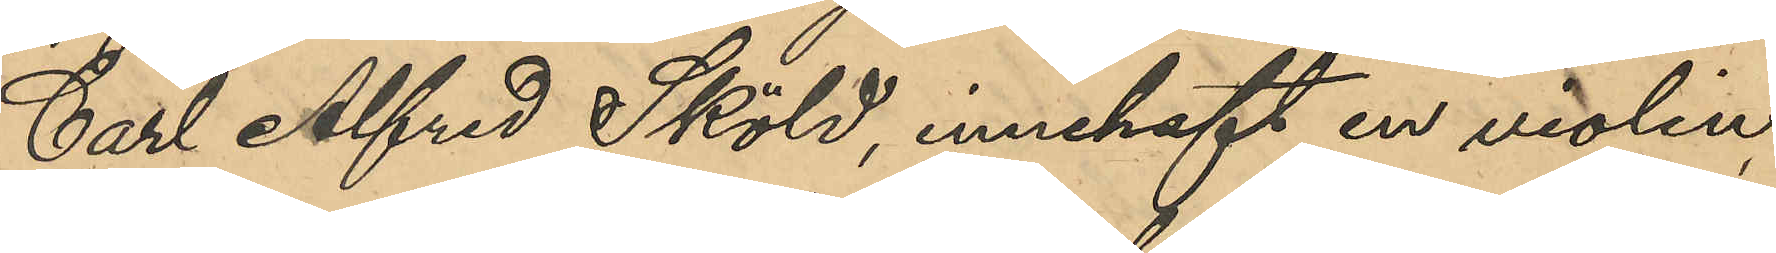Carl Alfred Sköld, innehaft en violin
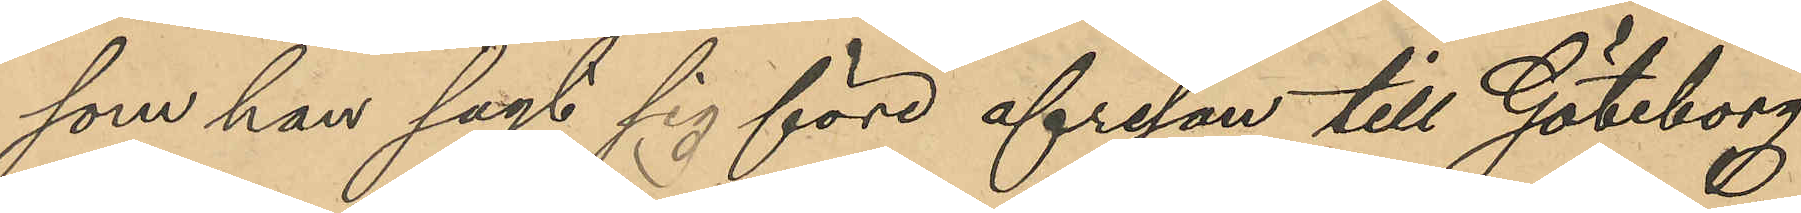som han sagt sig före afresan till Göteborg
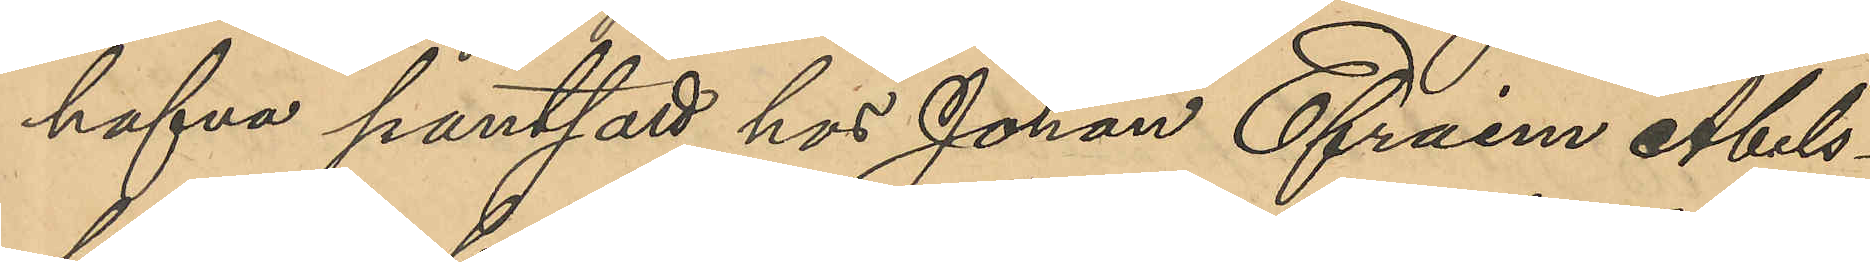hafva pantsatt hos Johan Efraim Abels¬
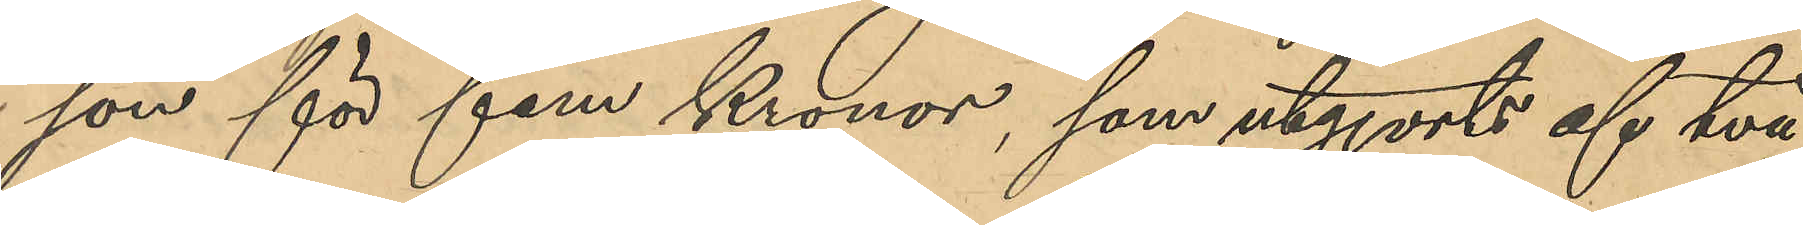son för fem Kronor, som utgjorts af två
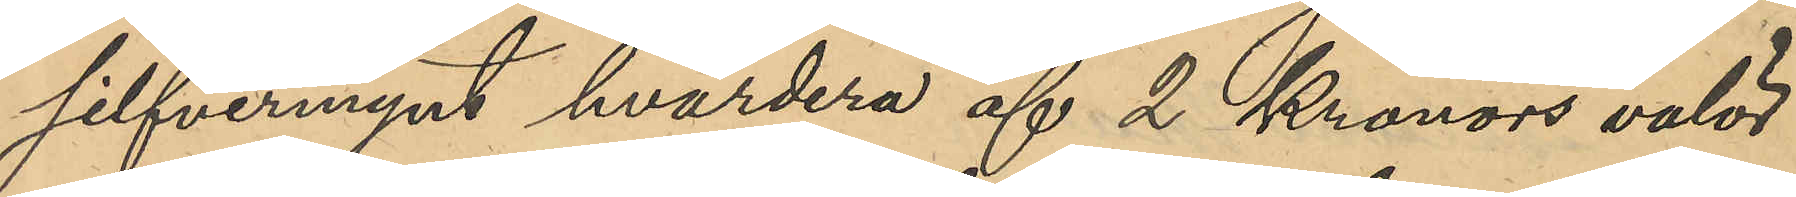silfvermynt hvardera af 2 Kronors valör
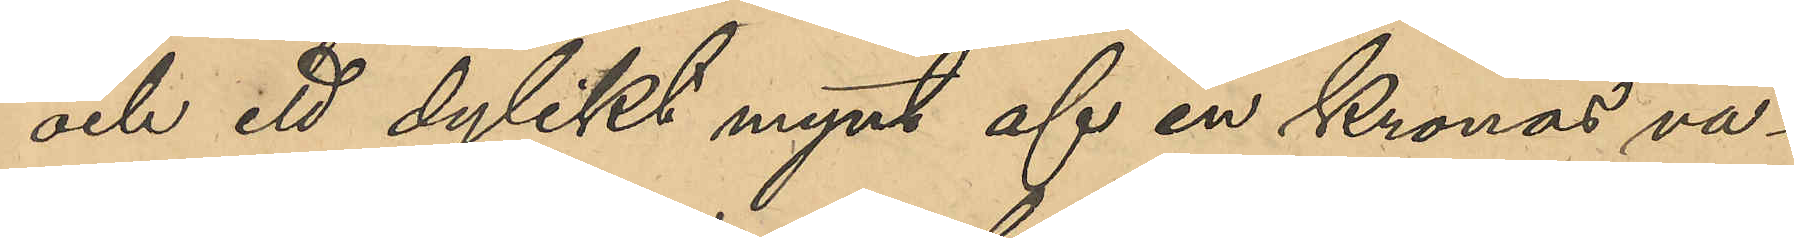och ett dylikt mynt af en kronas va¬
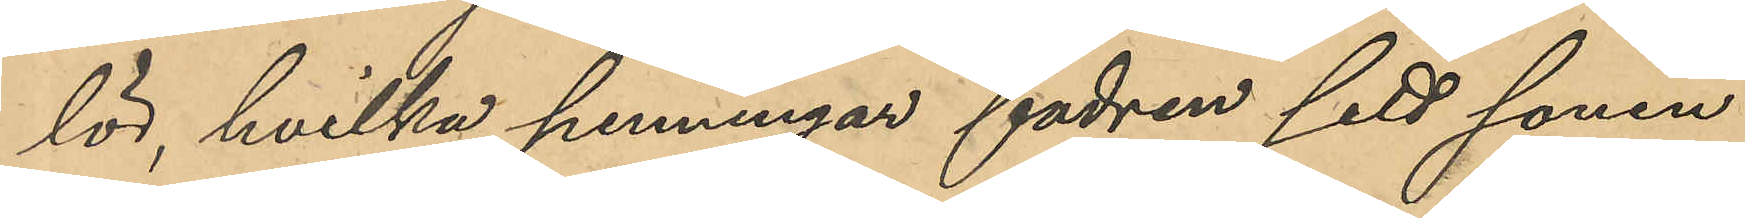lör, hvilka penningar fadren sett sonen
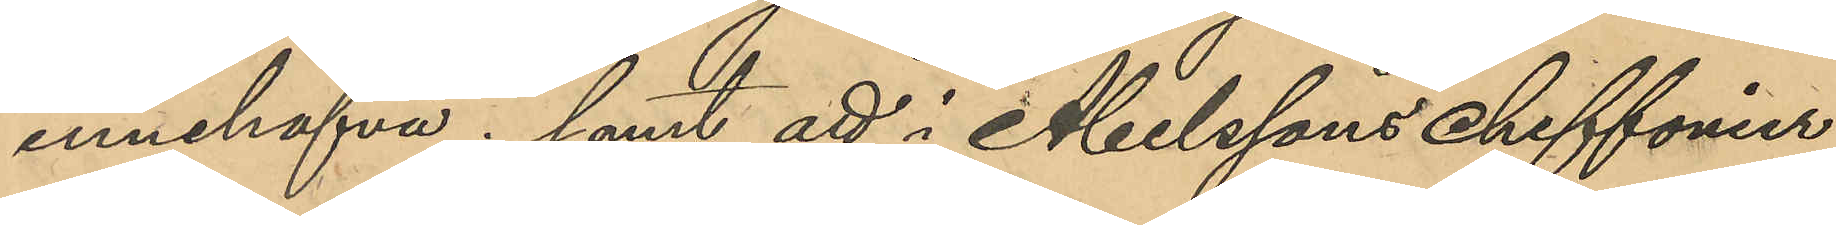innehafva; samt att i Abelssons chiffonier
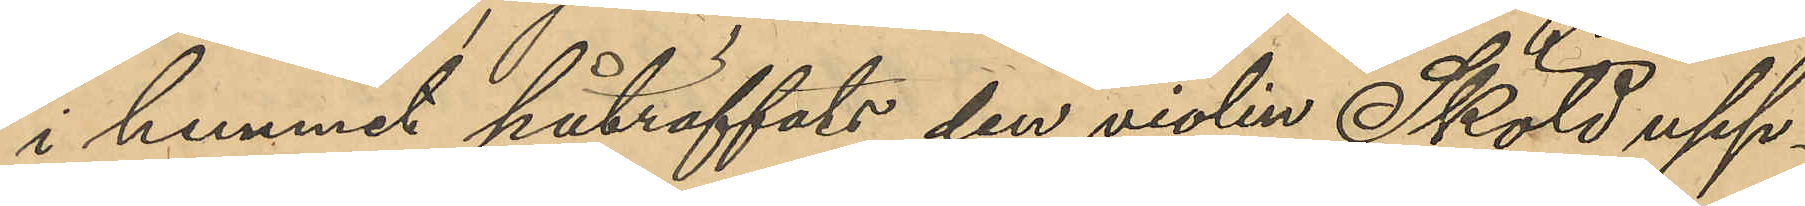i hemmet påträffats den violin Sköld upp¬
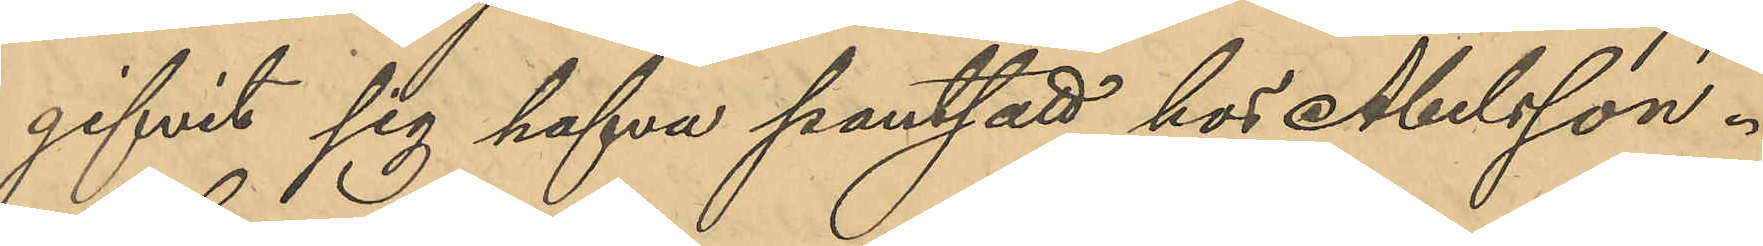gifvit sig hafva pantsatt hos Abelsson.
